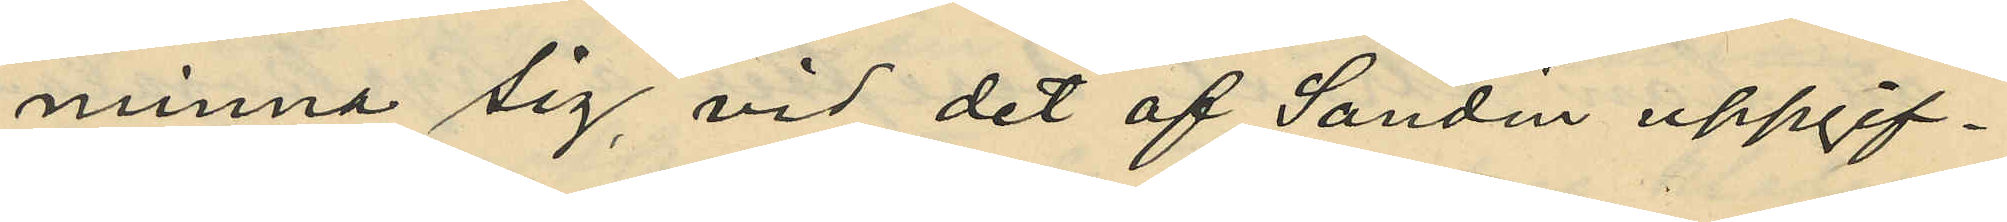minna sig, vid det af Sandin uppgif¬
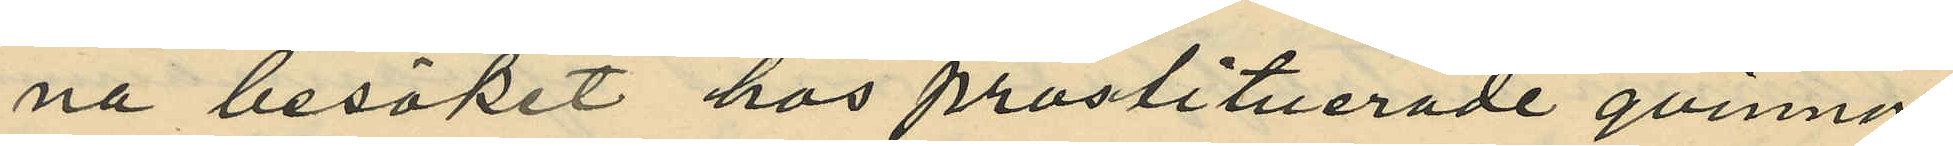na besöket hos prostituerade qvinnor
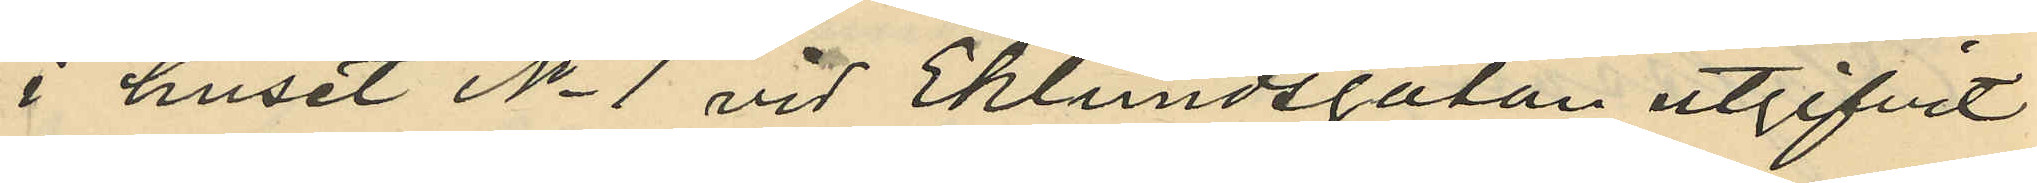i huset No 1 vid Eklundsgatan utgifvit
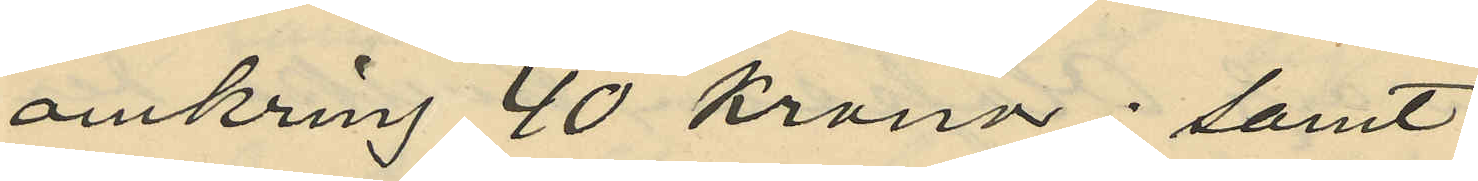omkring 40 kronor; samt
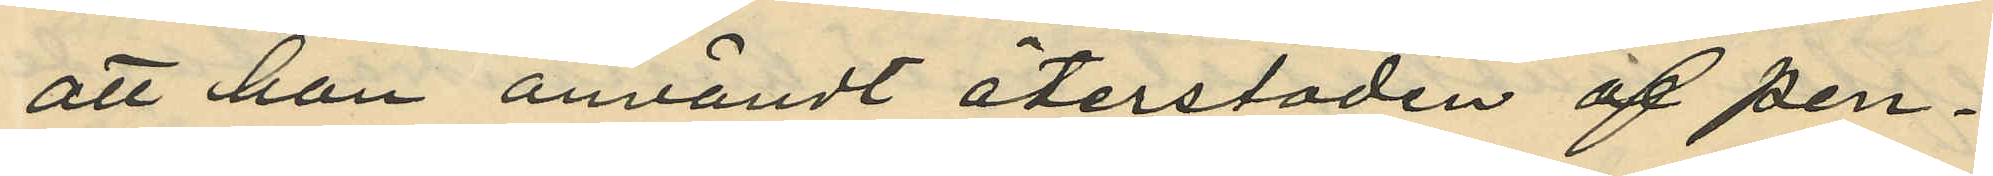att han användt återstoden af pen¬
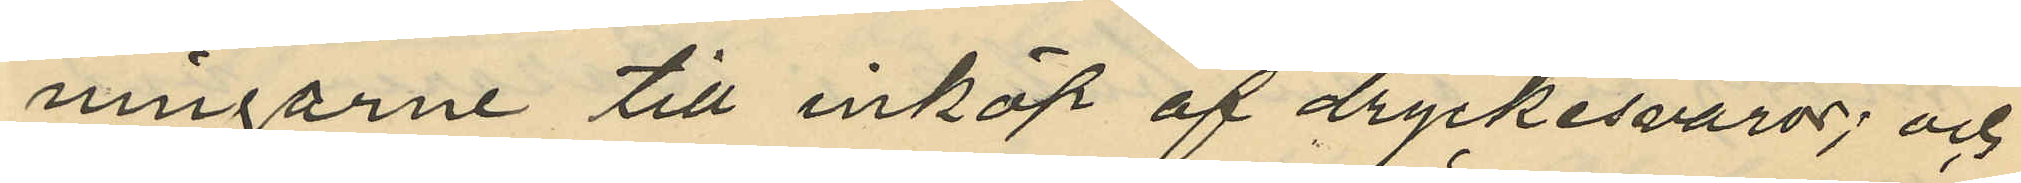ningarne till inköp af dryckesvaror; och
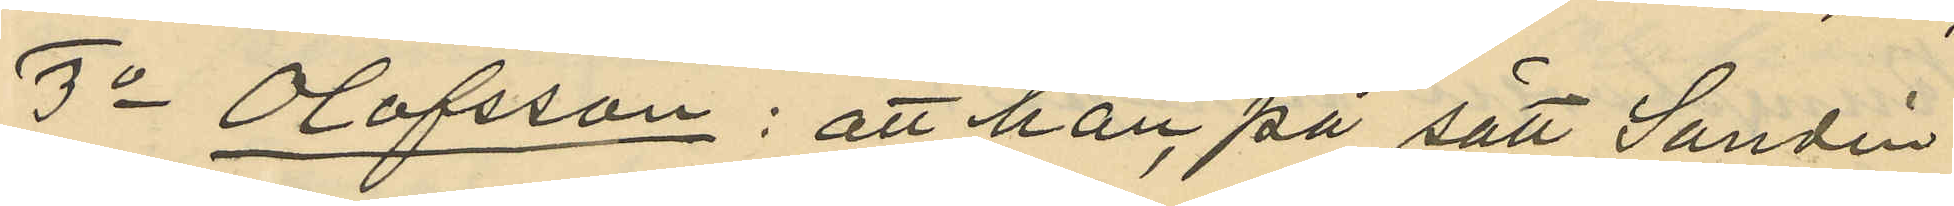3o Olofsson: att han på sätt Sandin
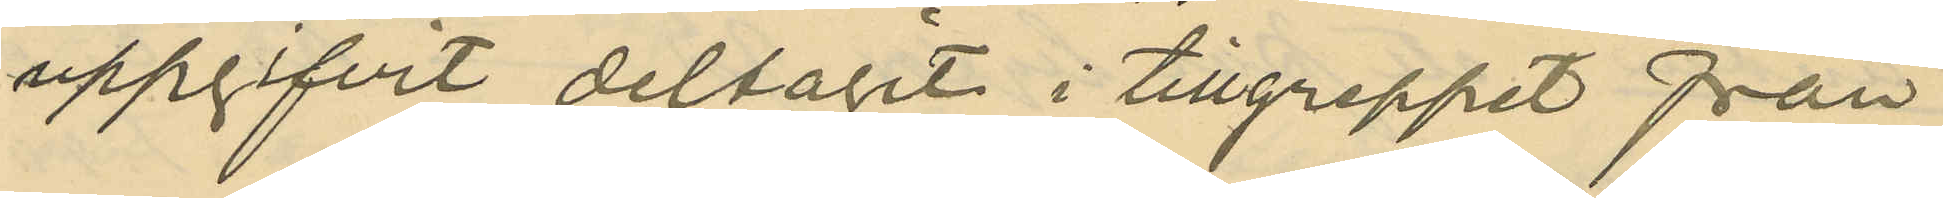uppgifvit deltagit i tillgreppet från
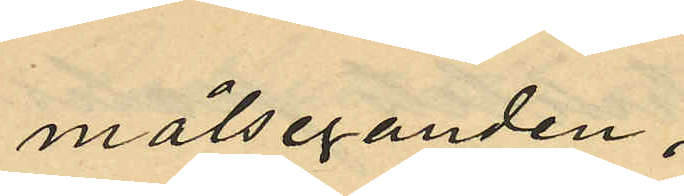målseganden;
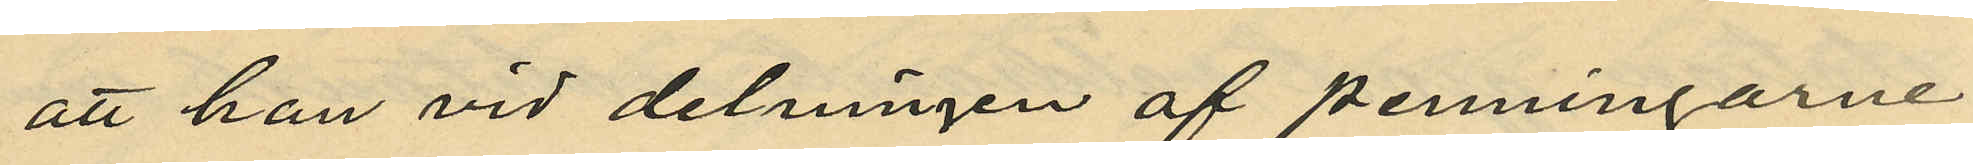att han vid delningen af penningarne
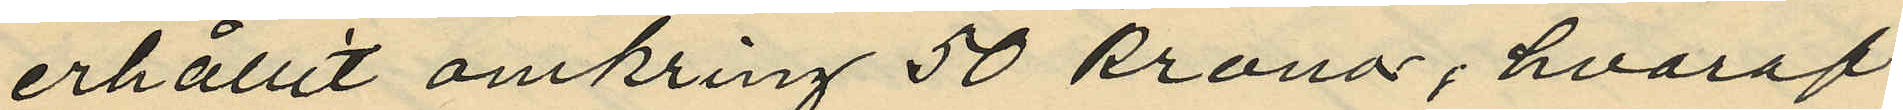erhållit omkring 50 kronor, hvaraf
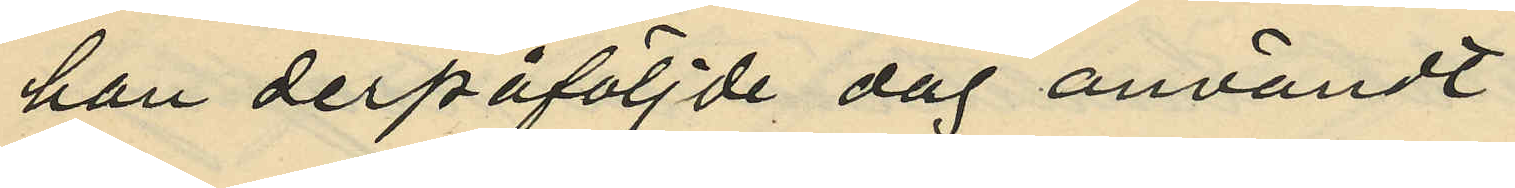han derpåföljde dag användt:
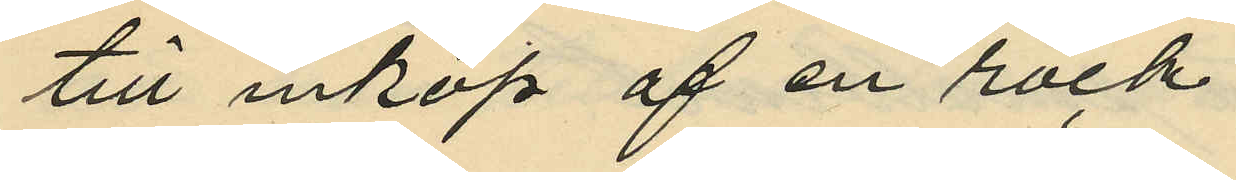till inköp af en rock
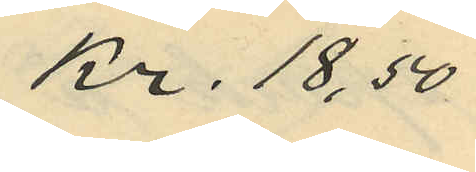Kr. 18,50
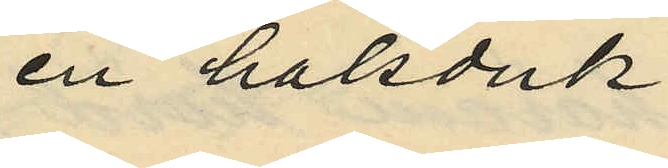en halsduk
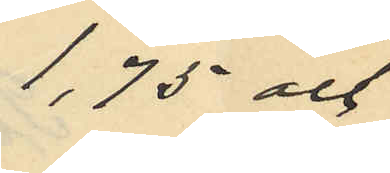1,75 och
